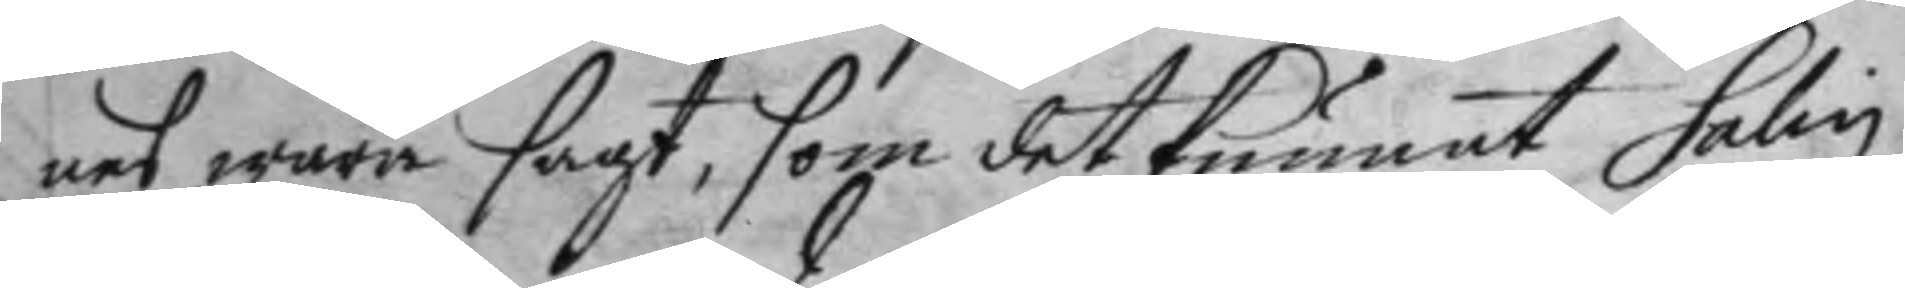nes wara sagt, som det kunnat Salin
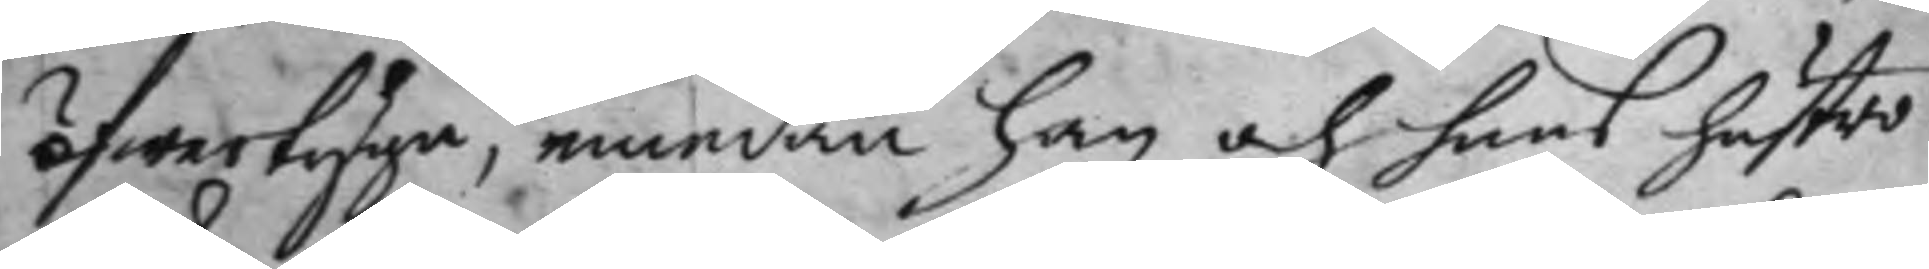öfwertyga, emedan han och huns hustru
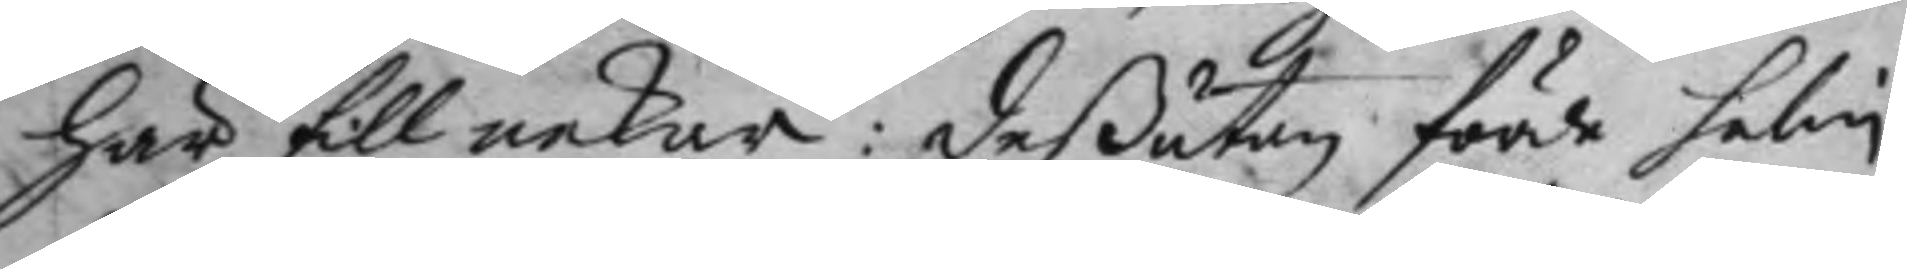här till nekar: deßutan förde salin
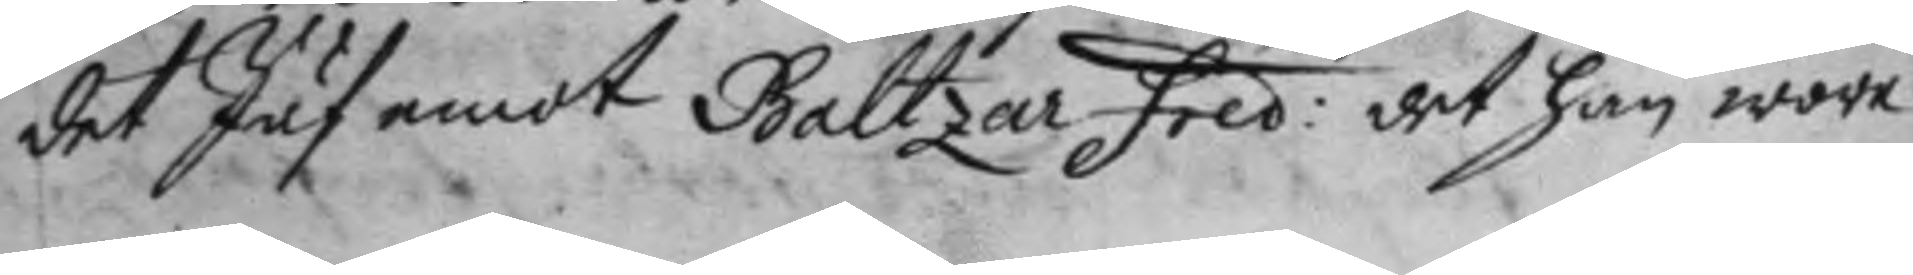det Jäf emot Baltzar fred: det han wore 
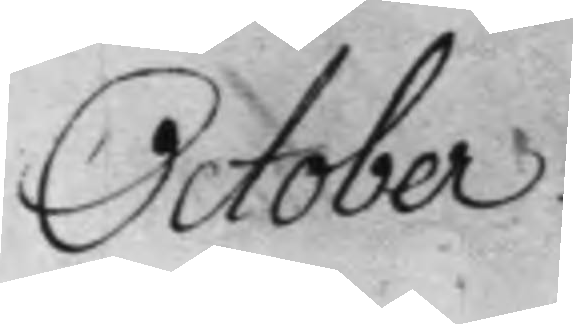October.
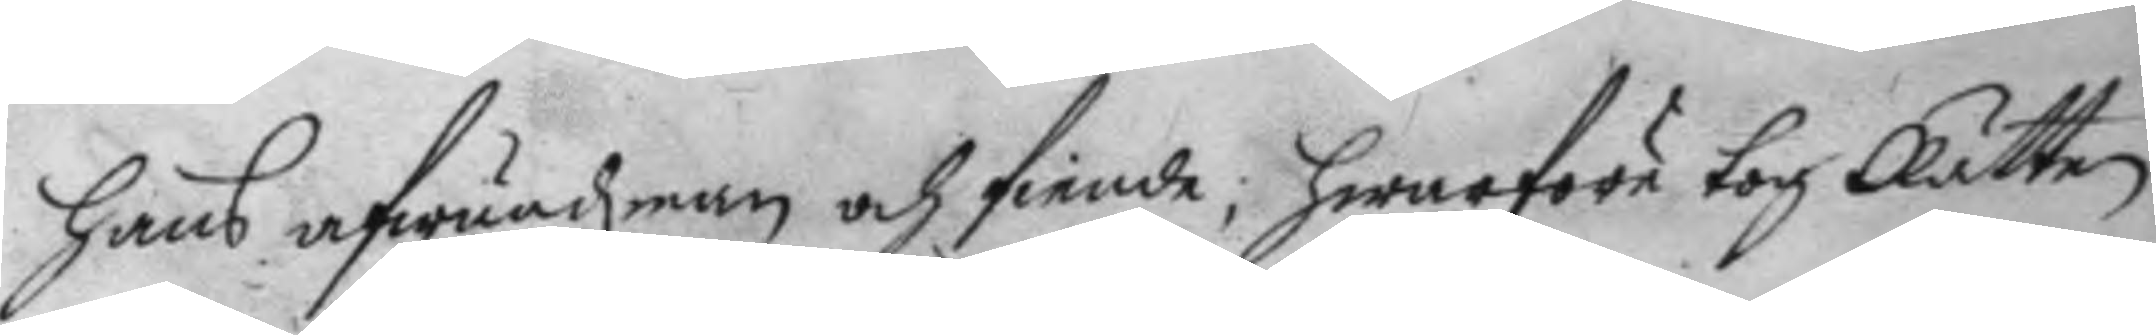hans afwundzman och fiende; hwarföre tog Rätten
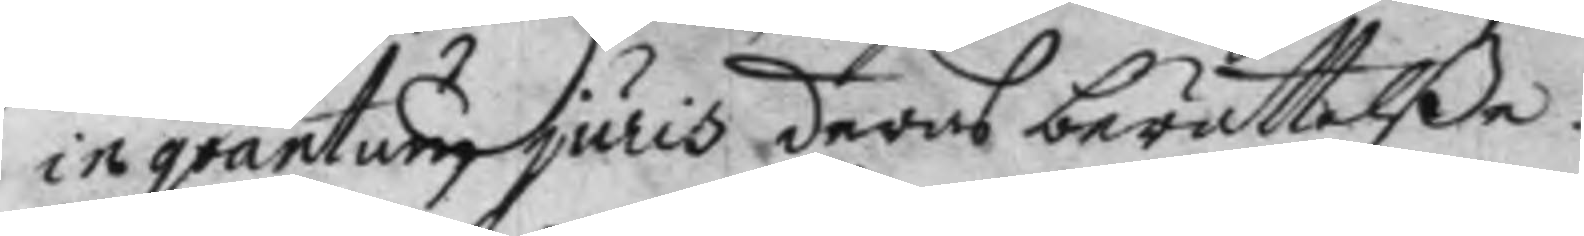in grantum juris deras berättelße.
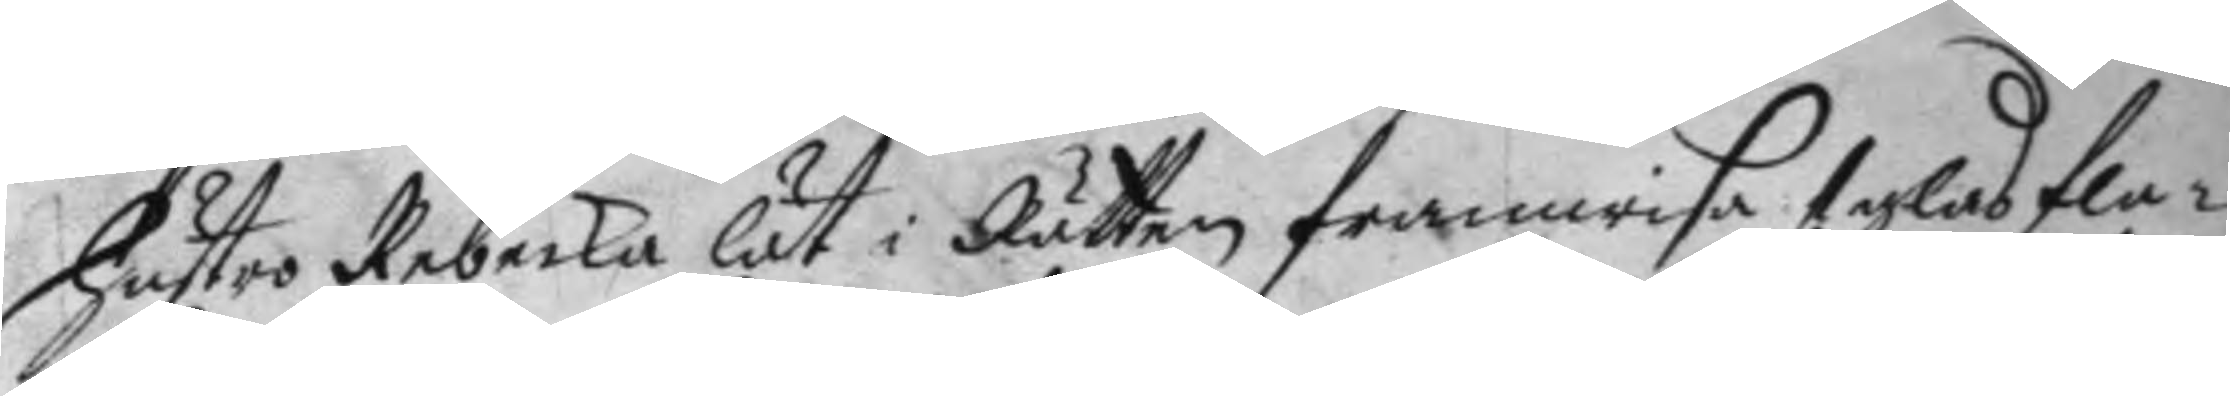hustro Rebecka lät i Rätten framwisa 1 glas fla¬
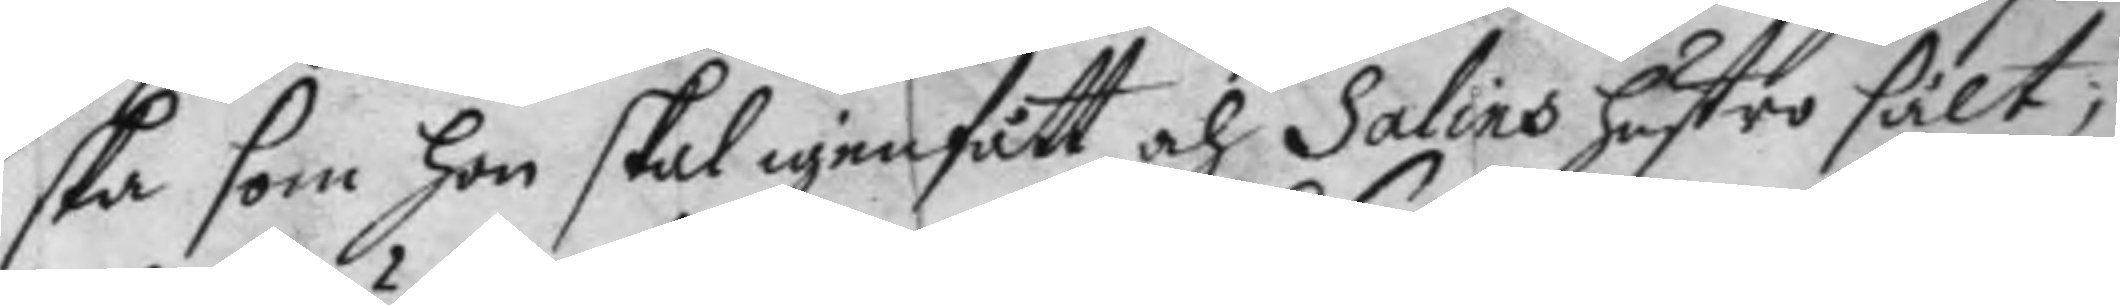ska som hon skal igenfått och Salins hustro sålt;
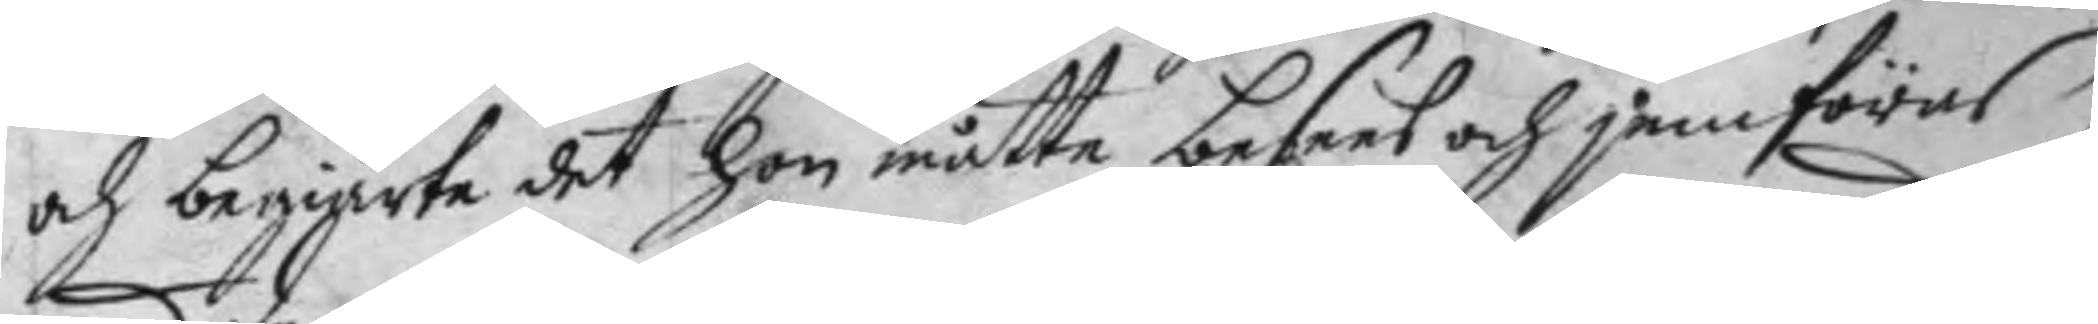och begiärte det hon måtte besees och jemföras
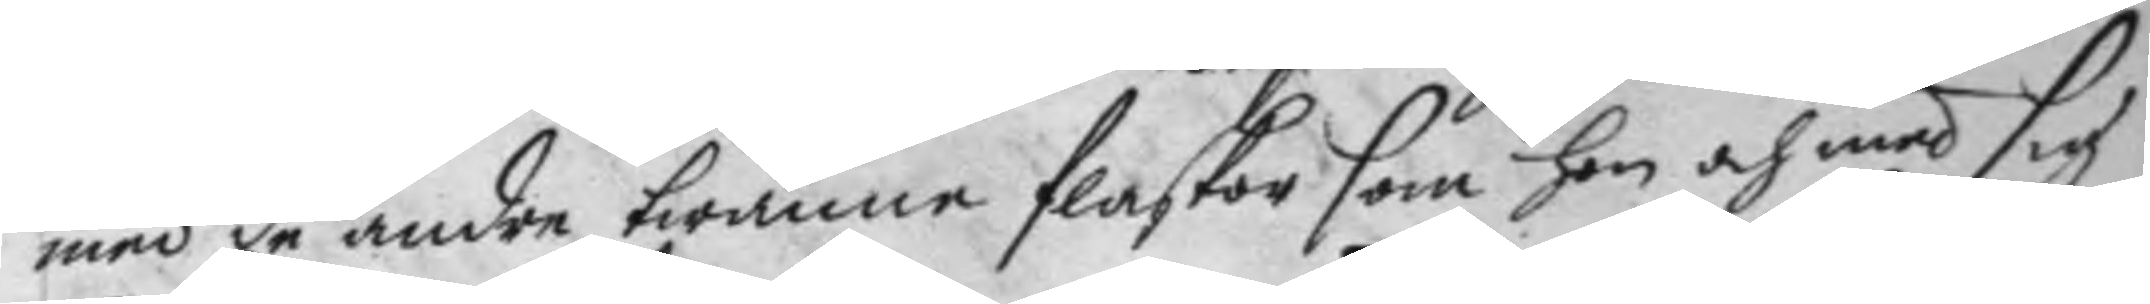med de andre twänne flaskor som hon och med sig
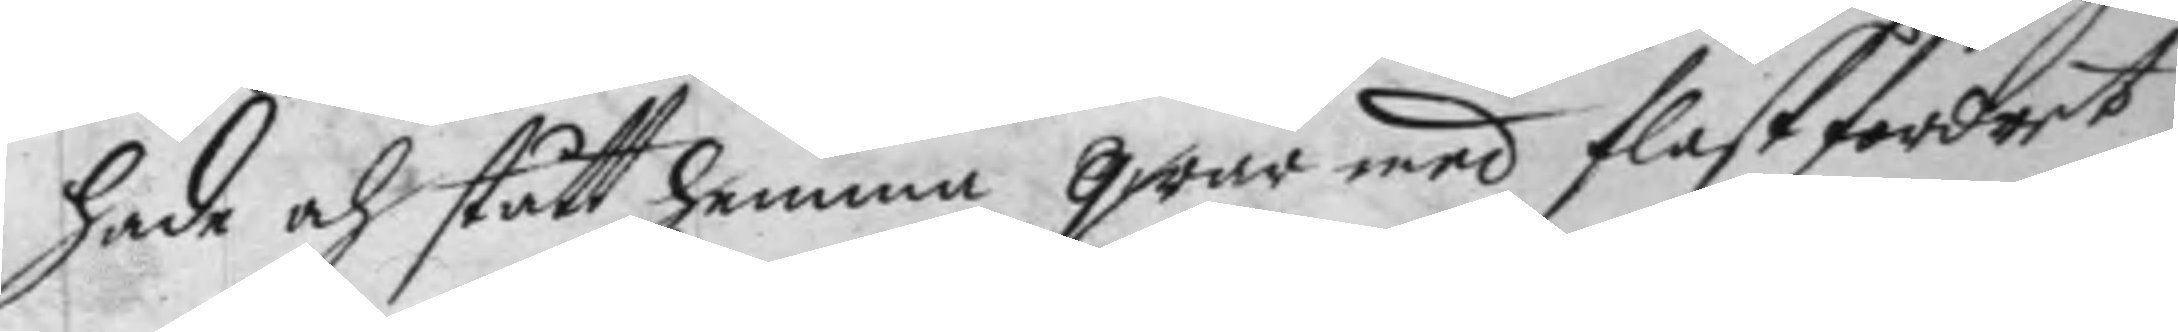hade och stått hemma qwar med flask fordret,
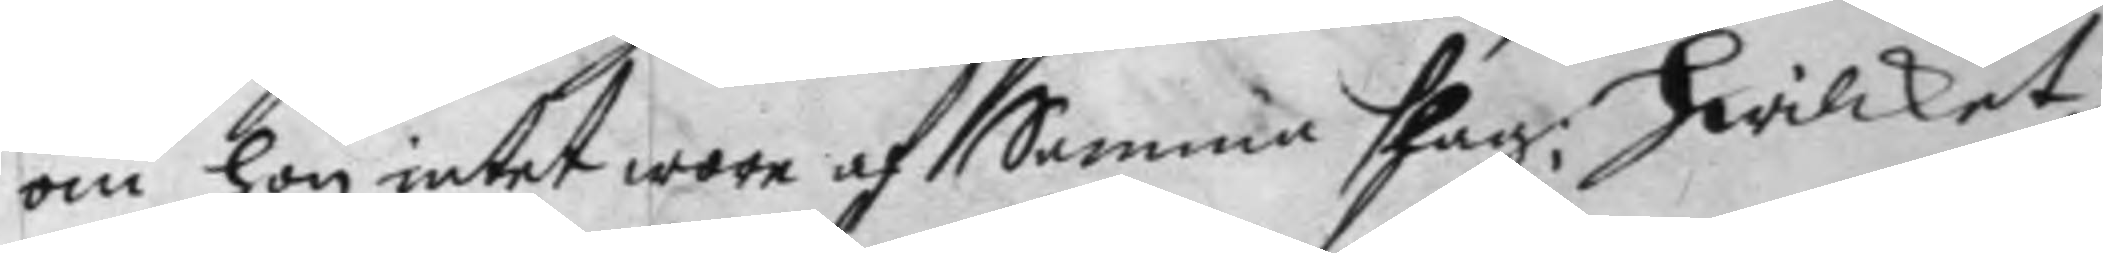om hon intet wore af  Samma slag, Hwilket
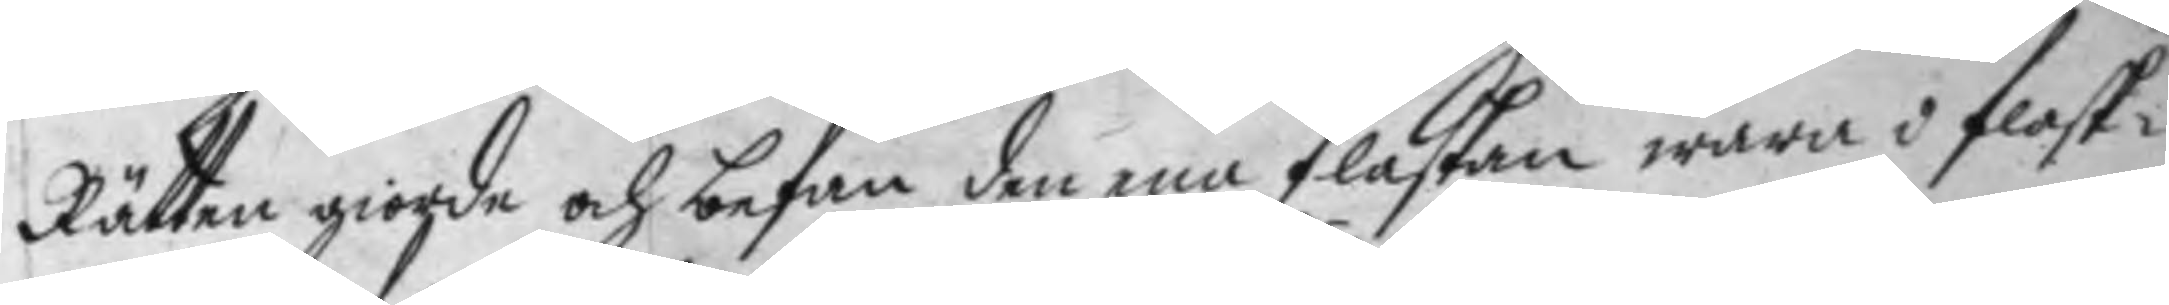Rätten giorde och befan den ena flaskan wara i flask¬
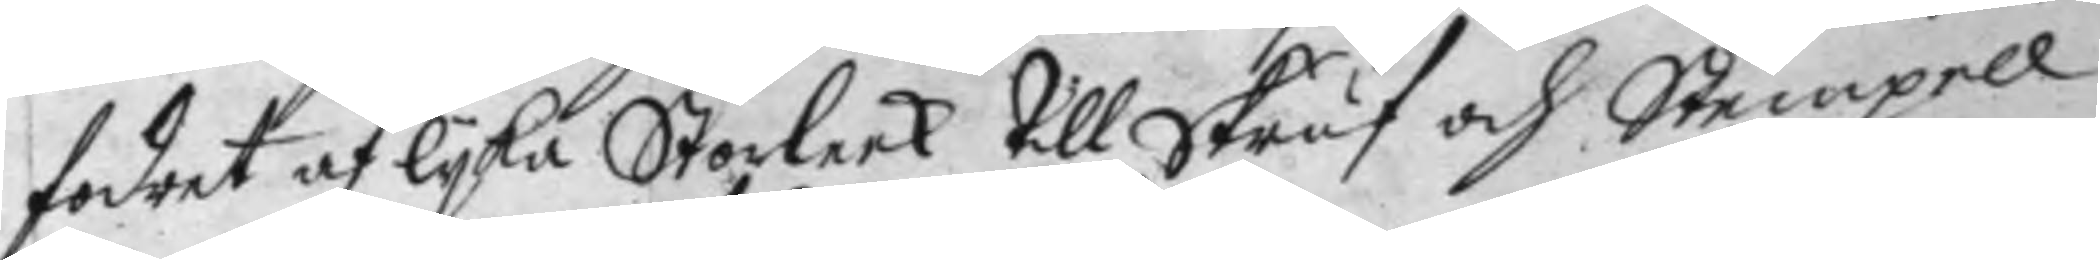fodret af lyka Storleek till skruf och Stempell
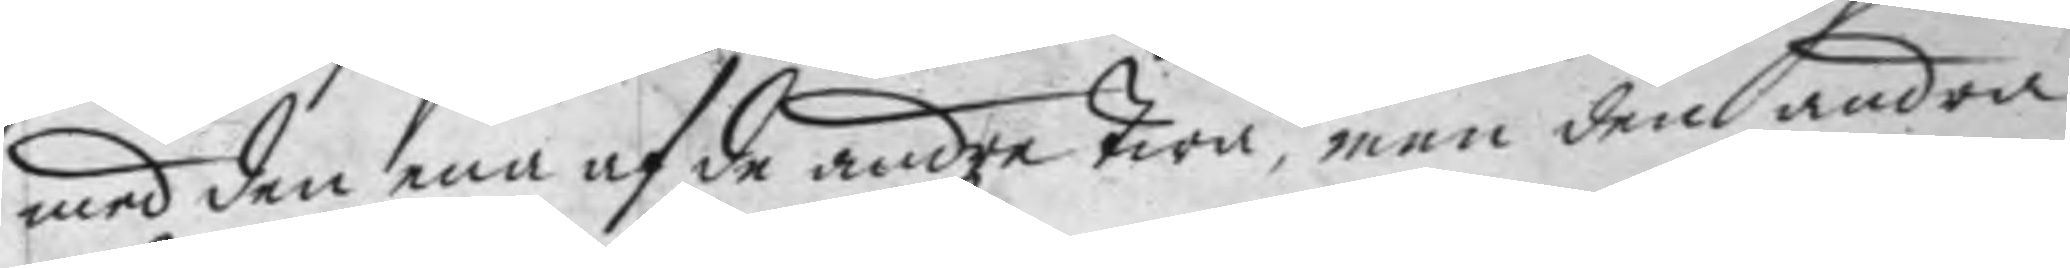med den ena af de andre twå, men den andra
